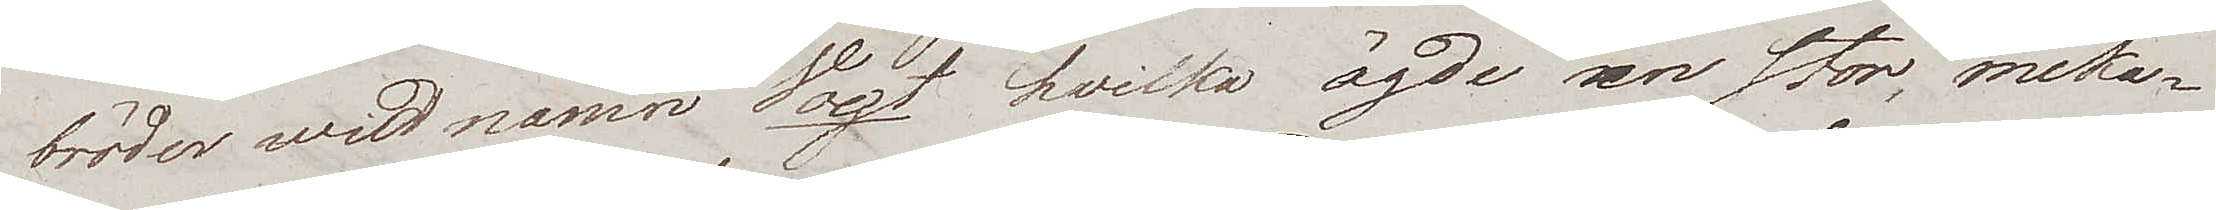bröder wid namn Vogt hvilka ägde sen stor, meka¬
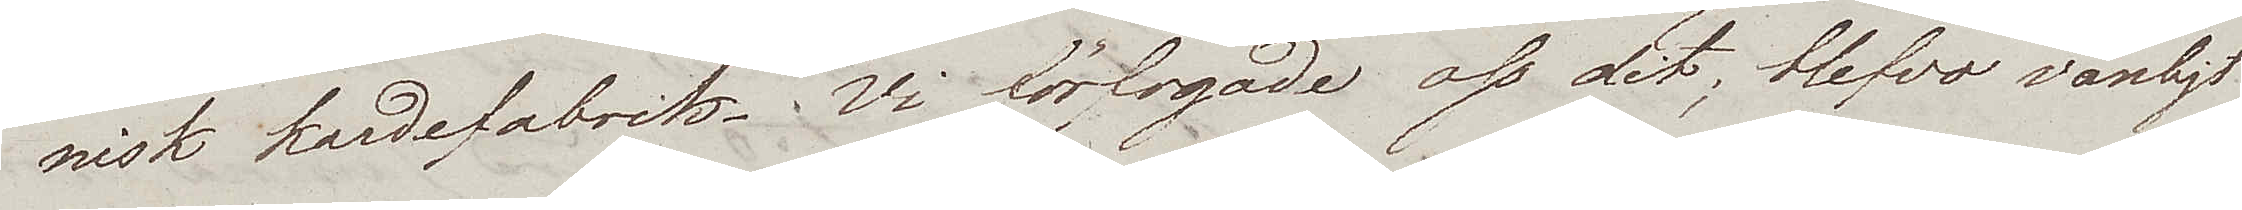nisk kardefabrik. Vi förfogade oss dit; blefvo vänligt
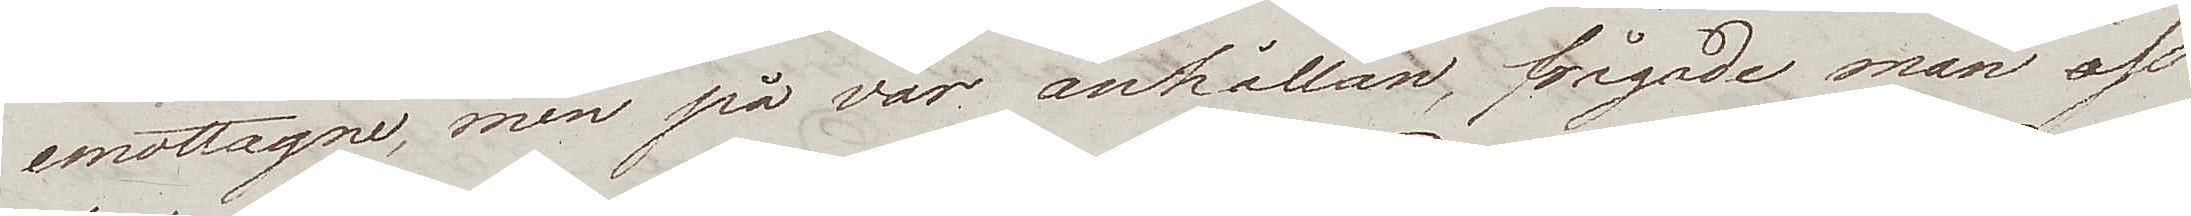emottagne, men på vår anhållan, frågade man oss
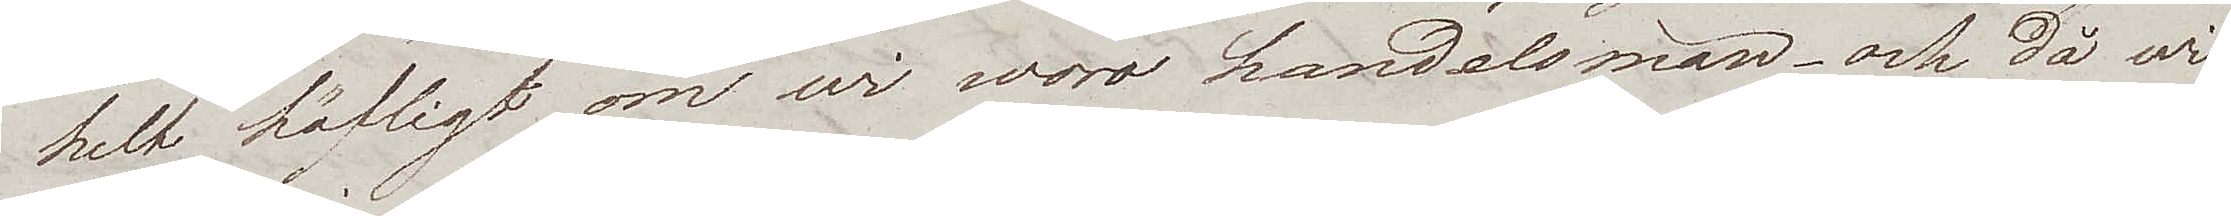helt höfligt om wi woro handelsmän och då wi
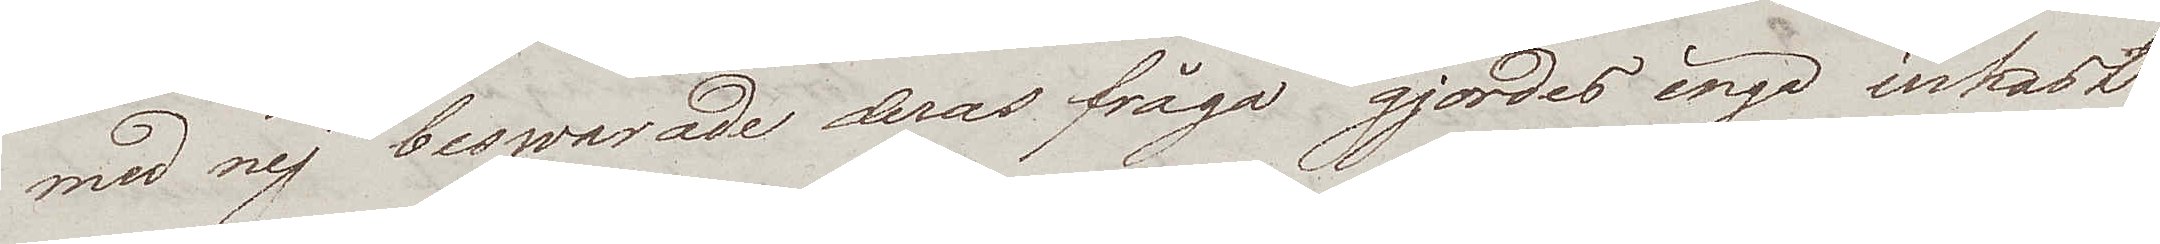med nej besvarade deras fråga gjordes inga inkast
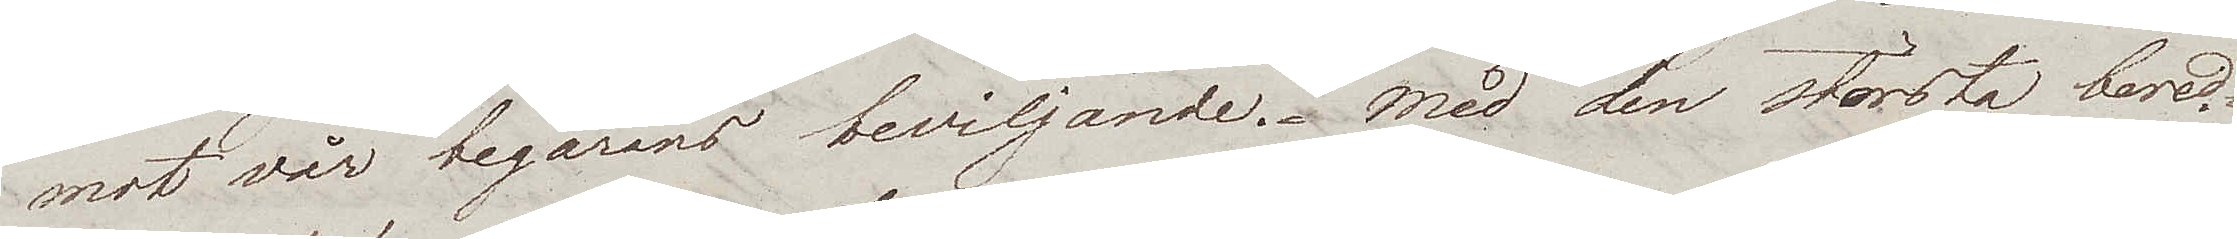mot vår begärans beviljande. Med den största bered¬
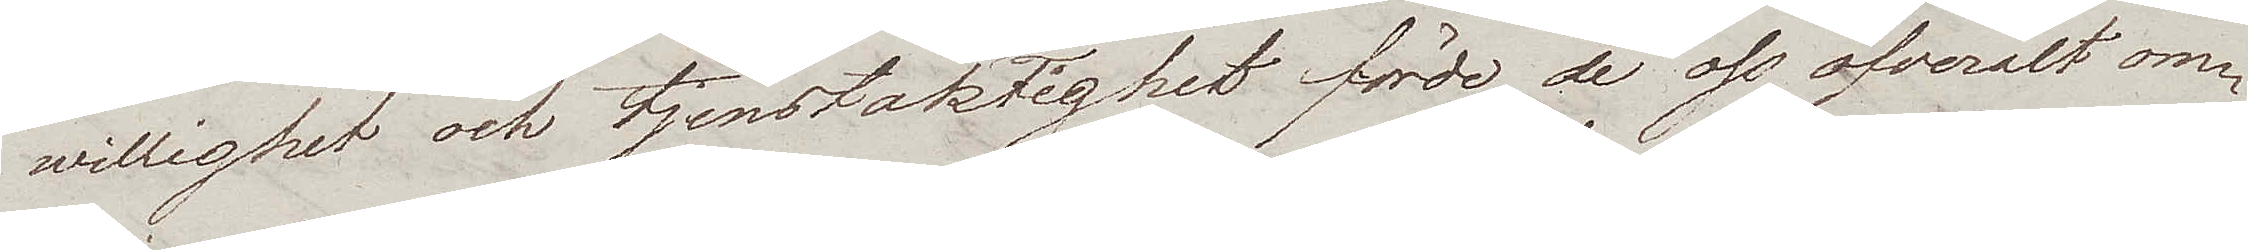willighet och tjenstaktighet förde de oss öfveralt om¬
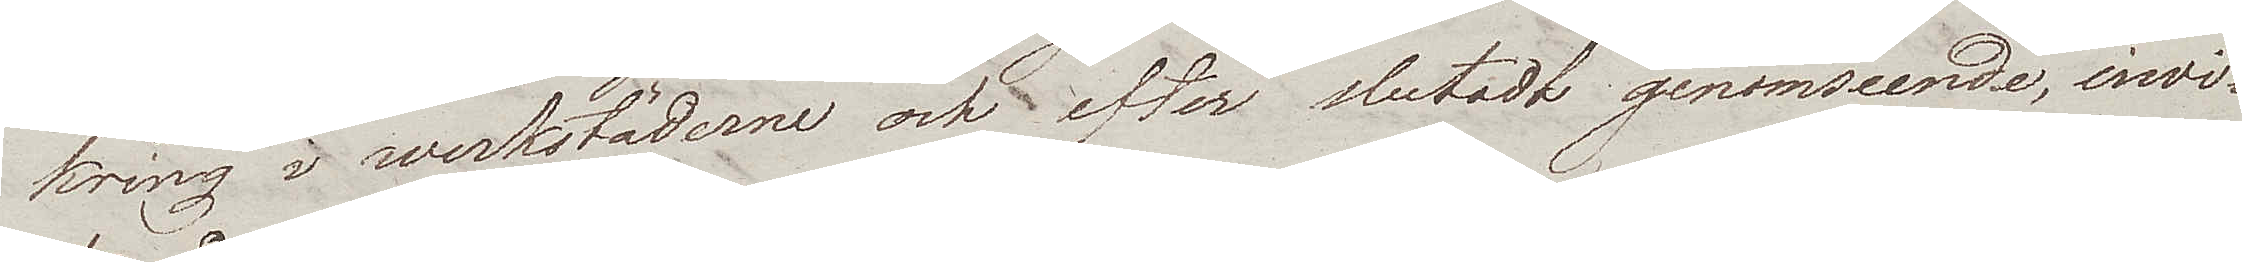kring i werkstäderne och efter slutadt genomseende, invi¬
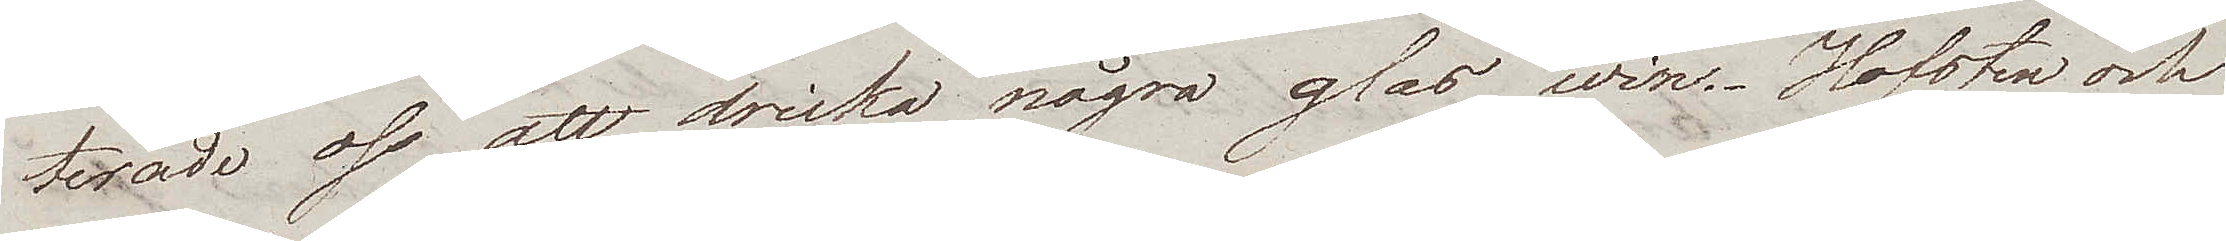terade oss att dricka några glas win. Hofsten och
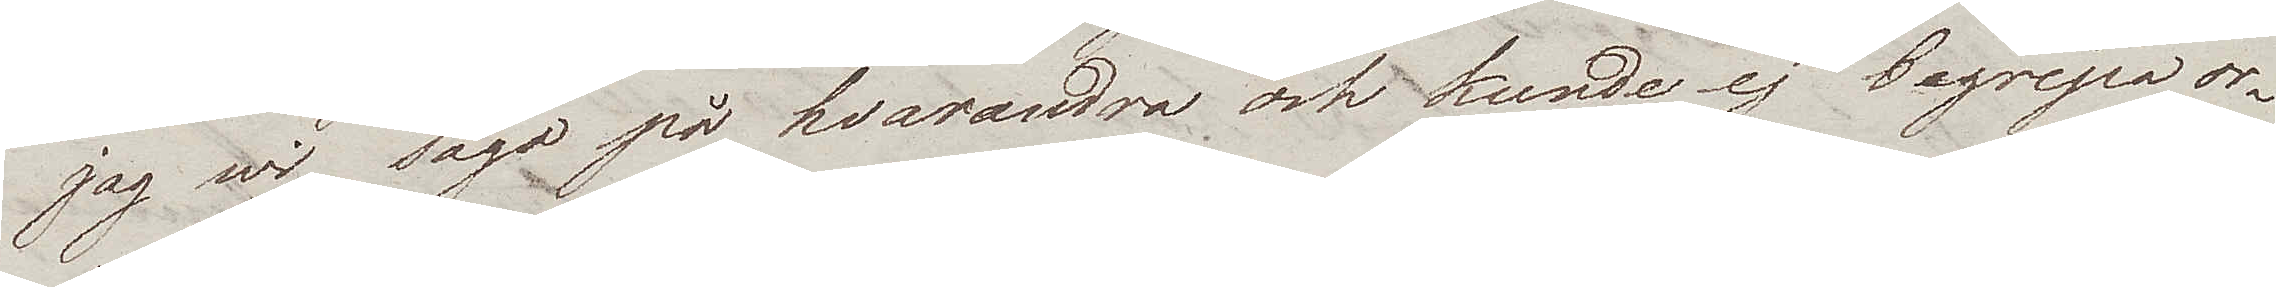jag wi sågo på hvarandra, och kunde ej begripa or¬
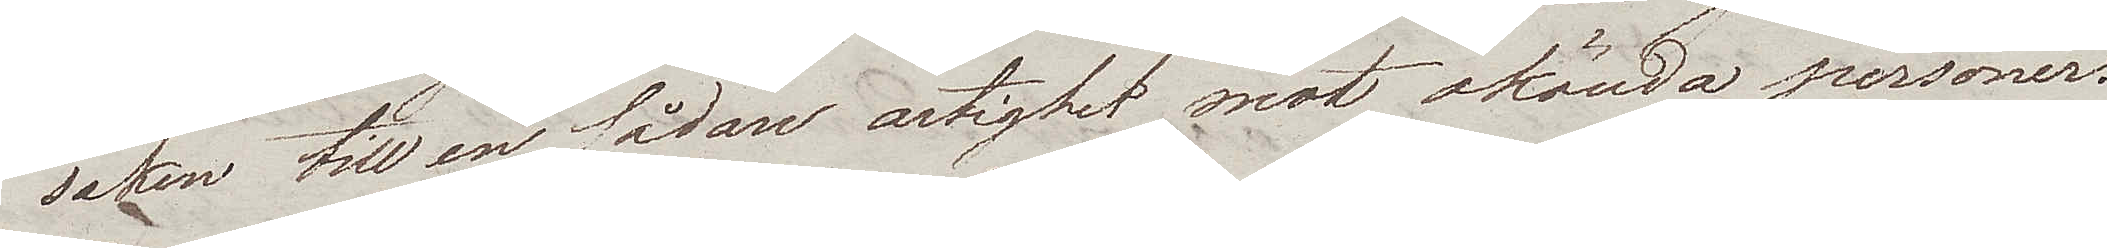saken till en sådan artighet mot okända personer.
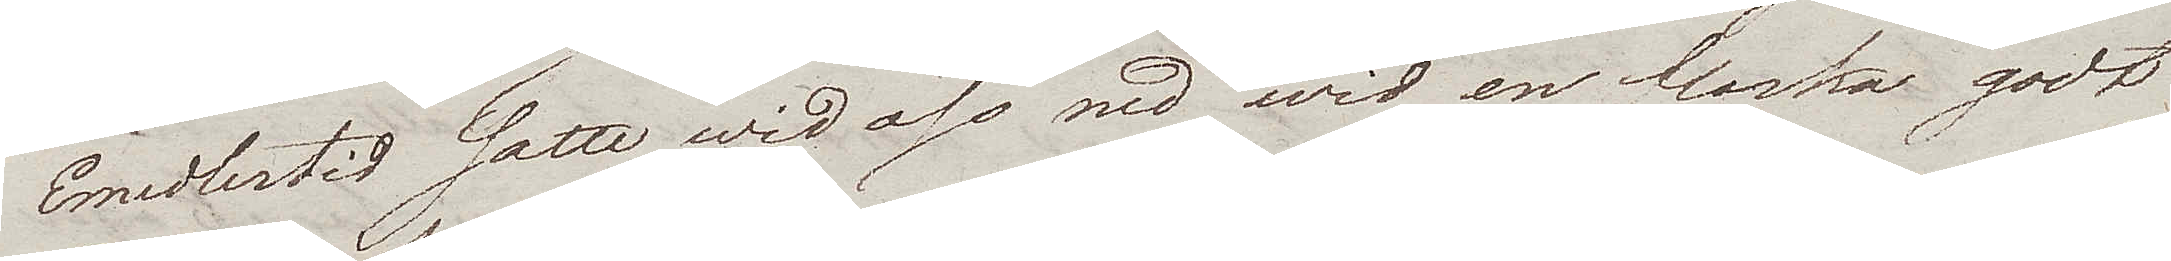Emedlertid satte wi oss ned wid en flaska godt
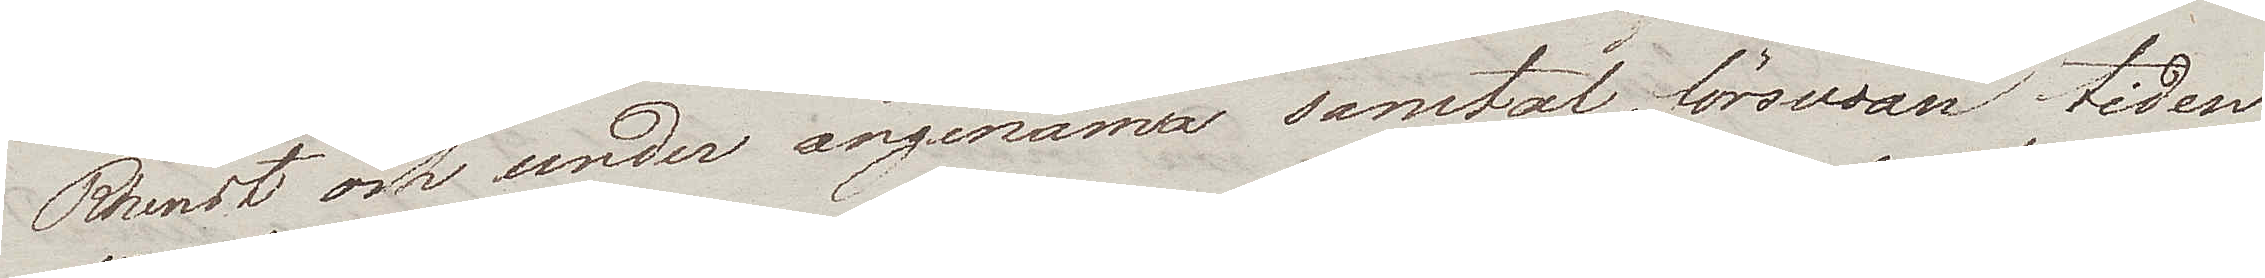Rhenskt och under angenäma samtal, försvan tiden
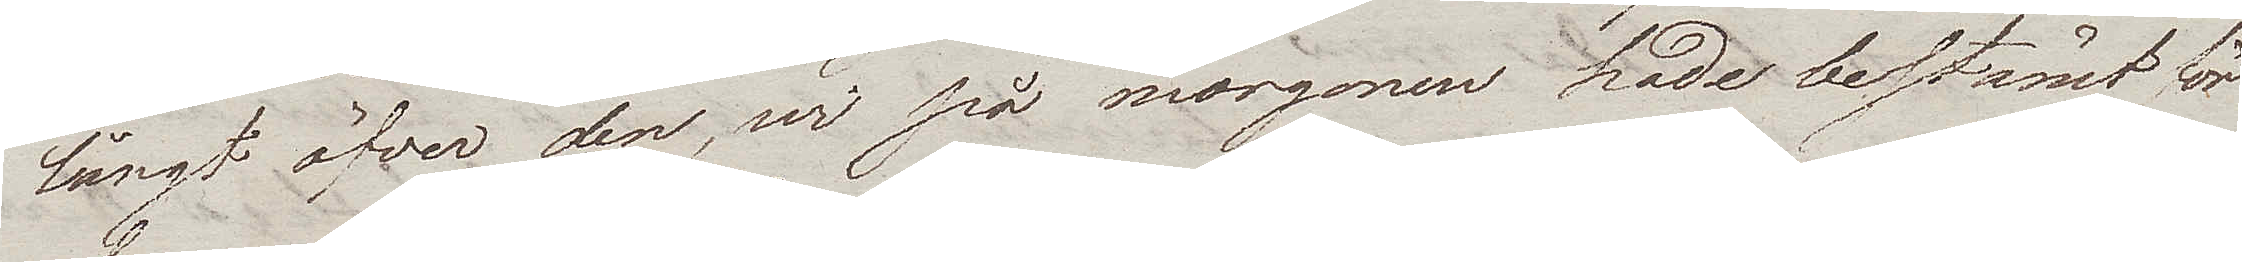långt öfver den, wi på morgonen hade bestämt för
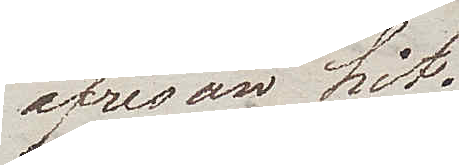afresan hit.
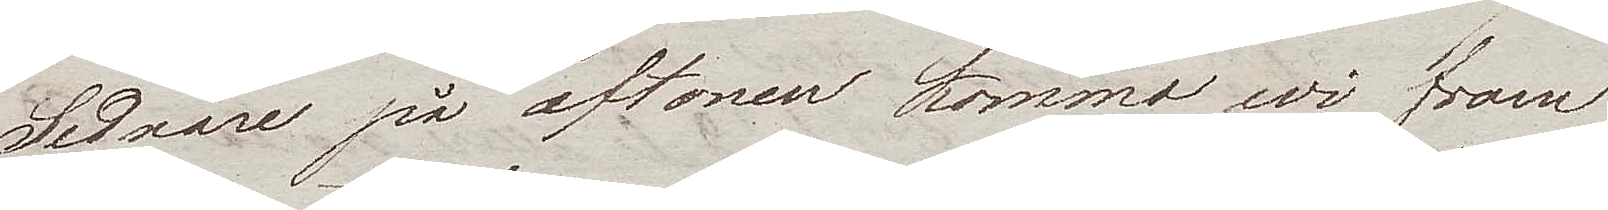Sednare på aftonen kommo wi fram
